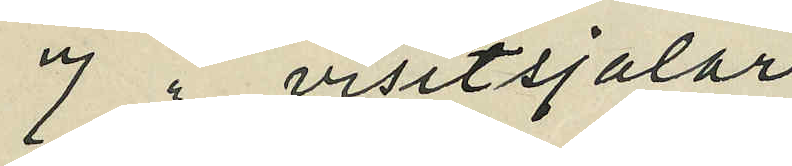7 " visitsjalar
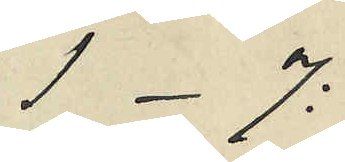1 - 7:
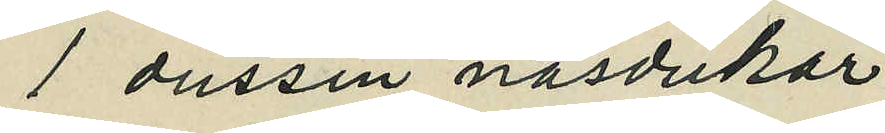1 dussin näsdukar
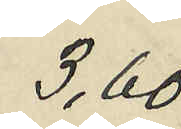3,60
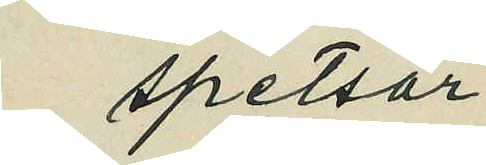spetsar
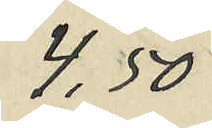4,50
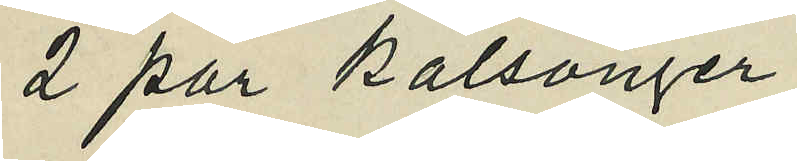2 par kalsonger
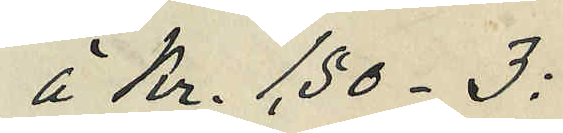á Kr. 1,50 - 3:
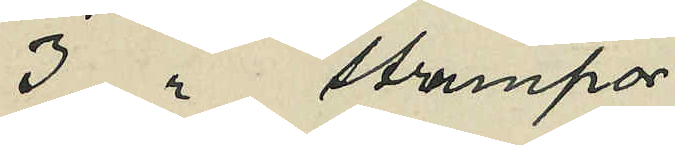3 " strumpor
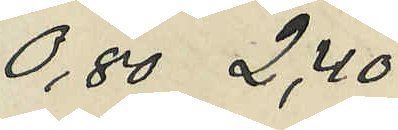0,80  2,40
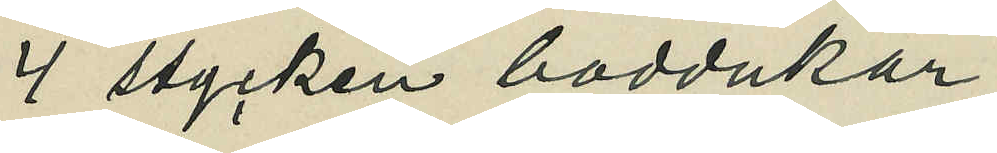4 stycken boddukar
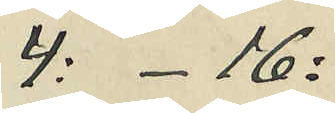4: - 16:
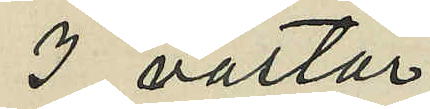3 västar
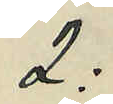2:
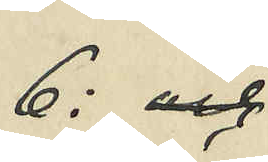6: och
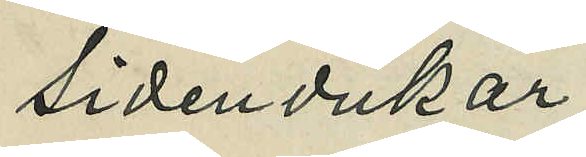sidendukar
